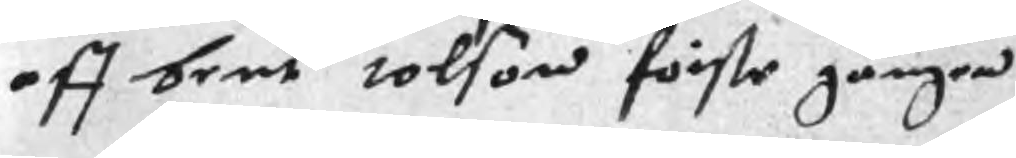aff bent tolson förste gången
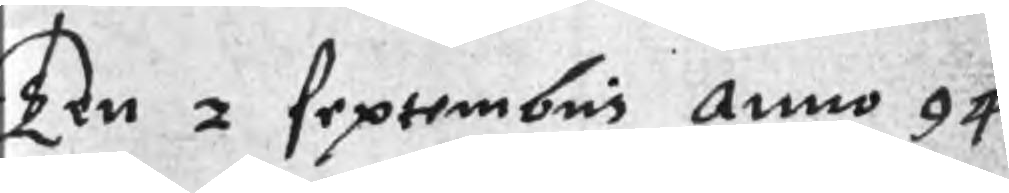Ten 2 septembris Anno 94
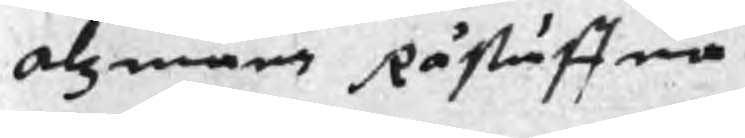Alzmans Råstuffua
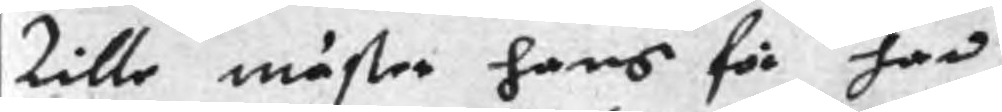Lille mäster hans för han
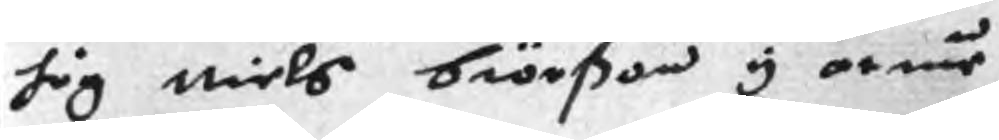sig Niels Biörßon y armen
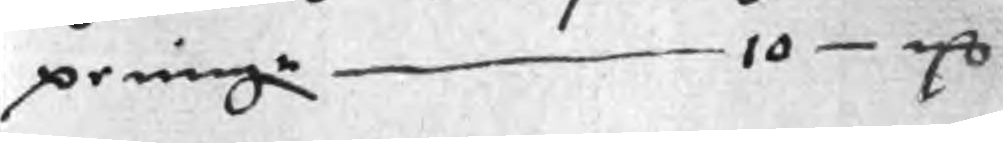peningr 10 mC
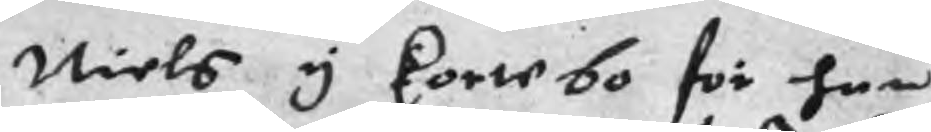Niels y kortebo för han
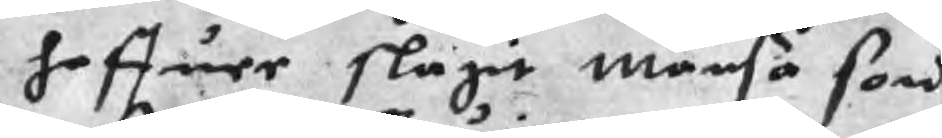haffuer slagit månsa son
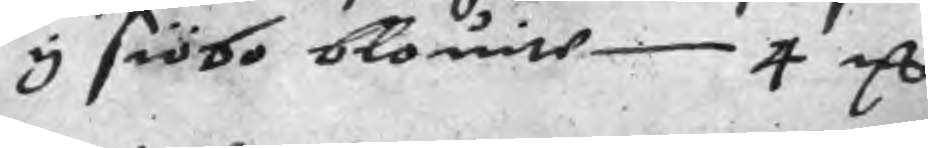y siöbo blouite 4 mC
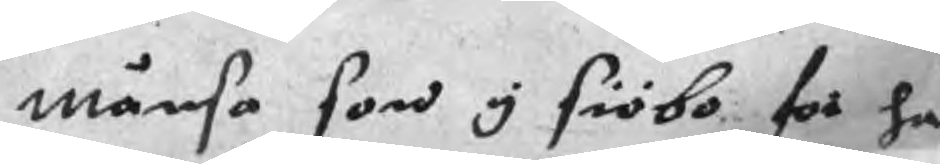månsa son y siöbo för han
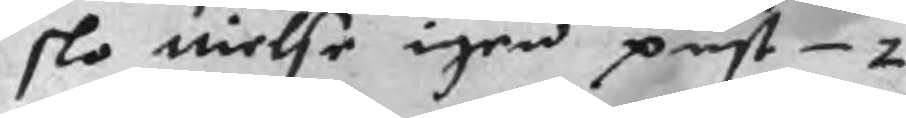slo nielse igen pust 2 mC
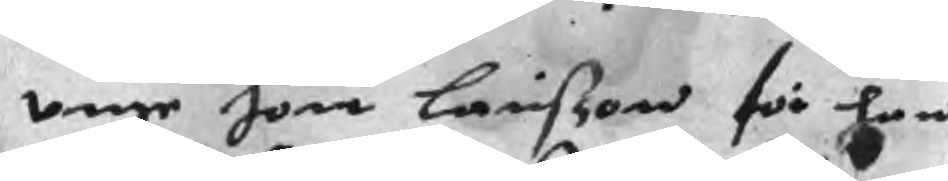vnge Jon Larisson för han
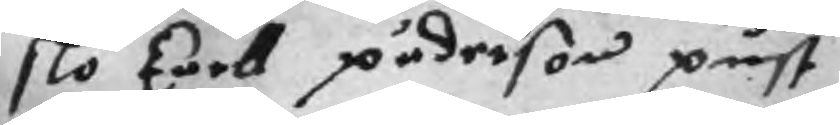slo karl päderson pust
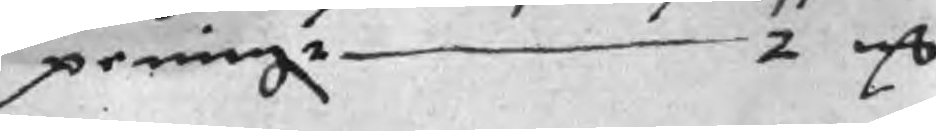peningr 2 mC
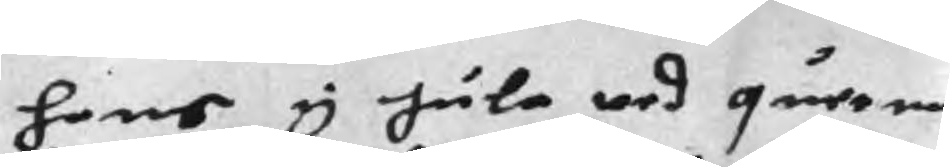hans y Jula wed querna
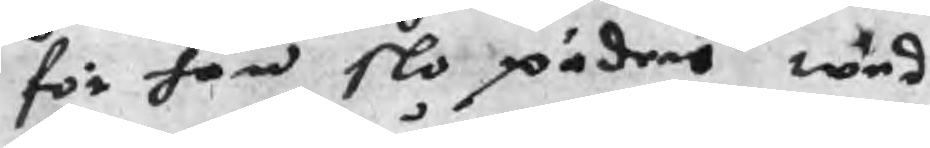för han slo päder wed
